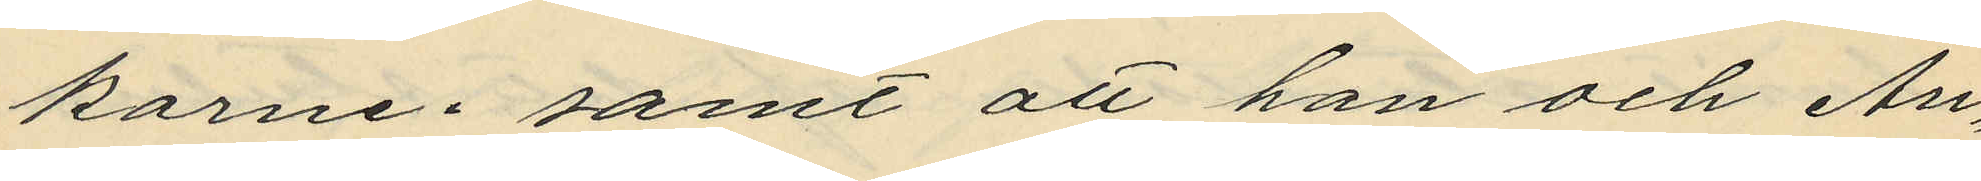karne; samt att han och An¬
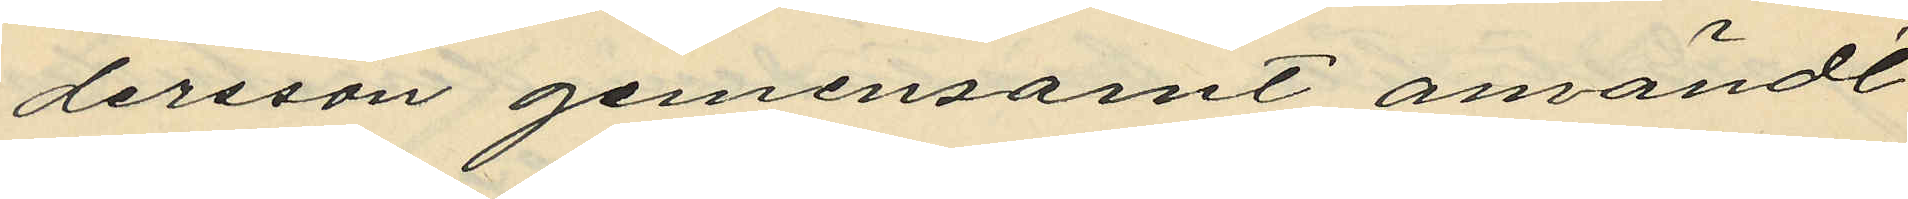dersson gemensamt användt
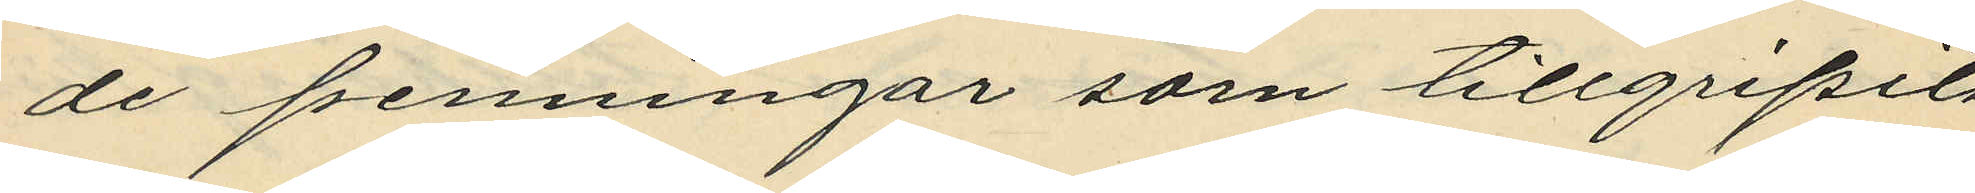de penningar som tillgripits
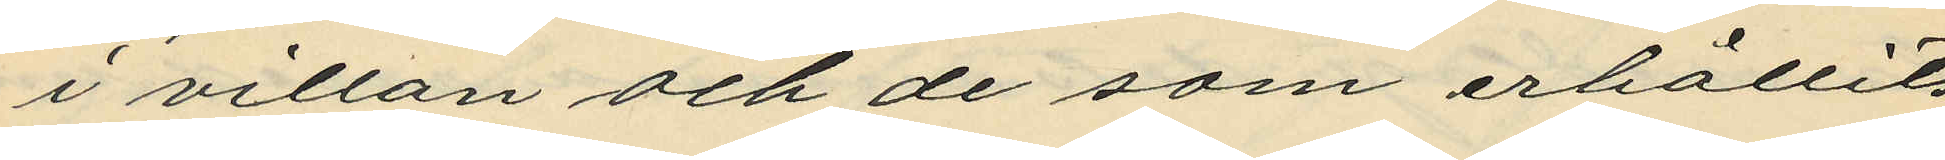i villan och de som erhållits
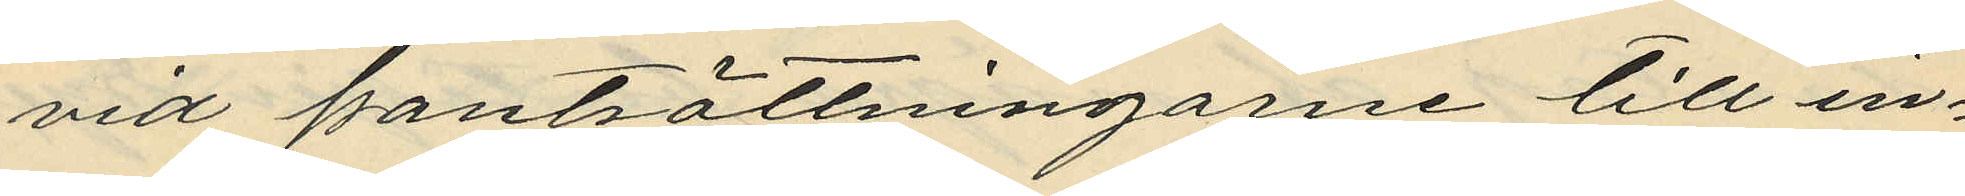vid pantsättningarne till in¬
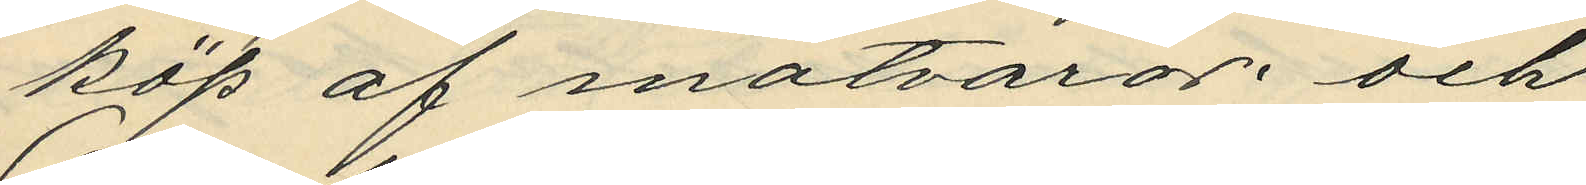köp af matvaror; och
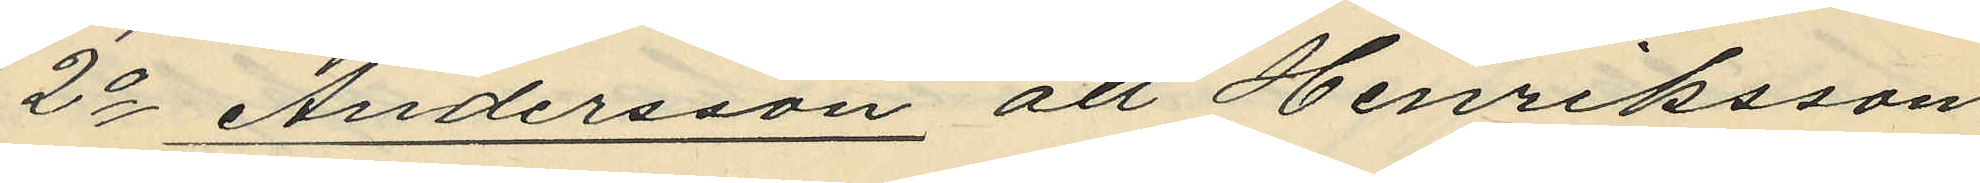2o Andersson att Henriksson,
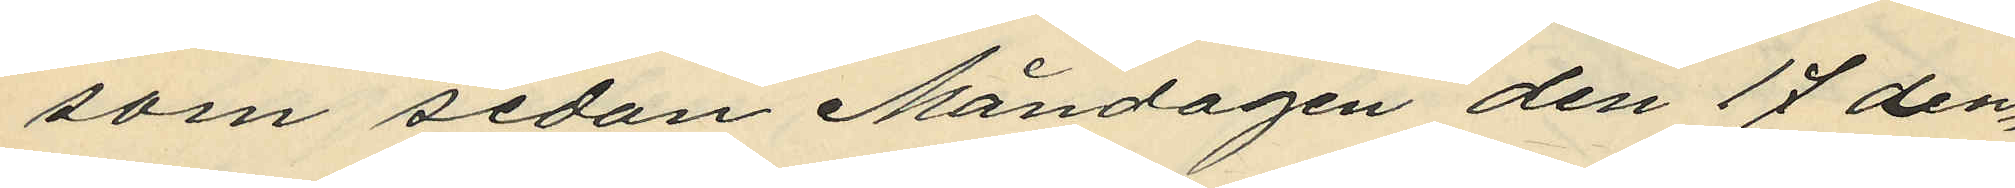som sedan Måndagen den 17 den¬
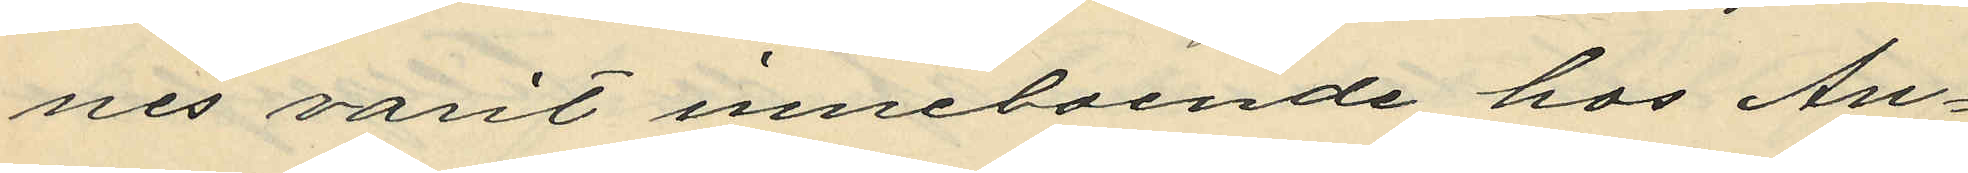nes varit inneboende hos An¬
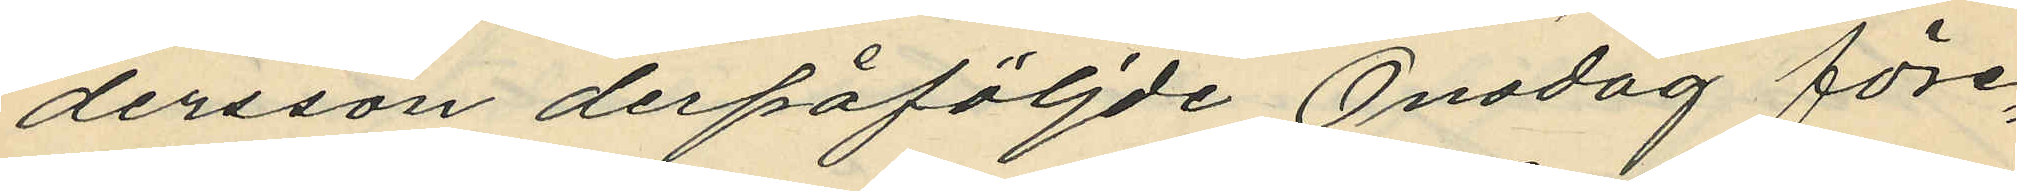dersson derpåföljde Onsdag före¬
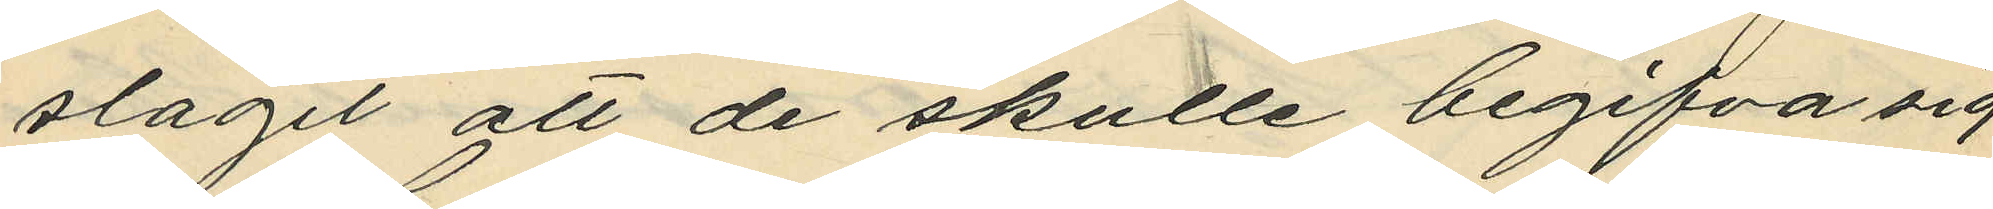slagit att de skulle begifva sig
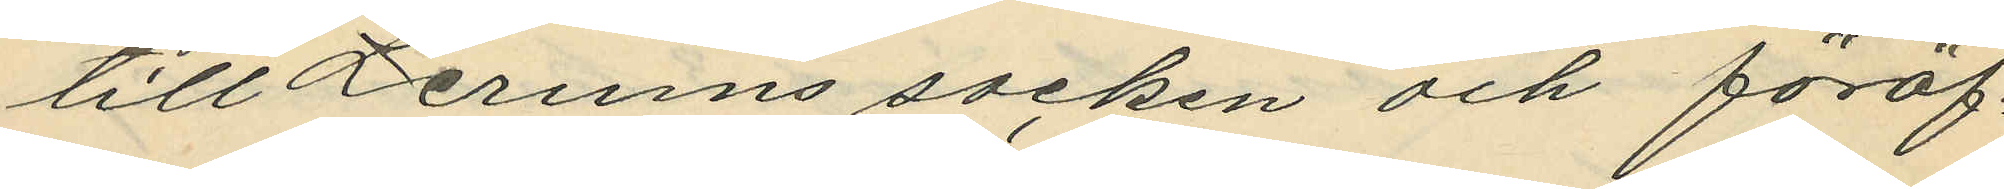till Lerums socken och föröf¬
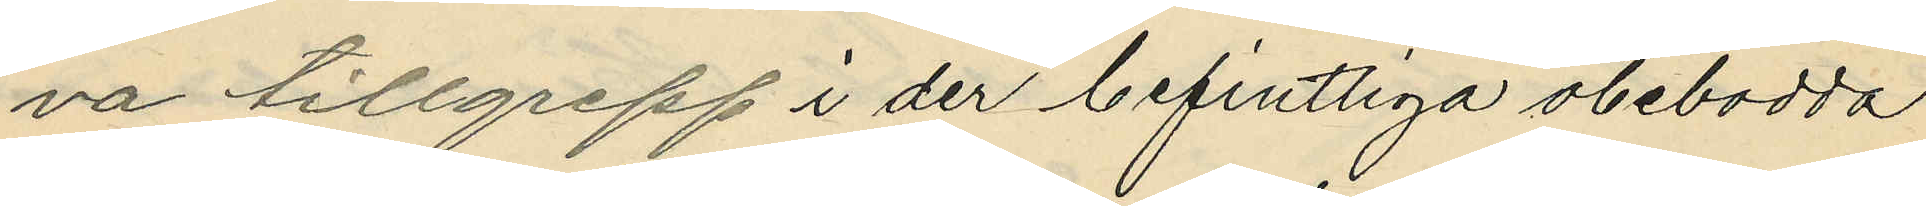va tillgrepp i der befintliga obebodda
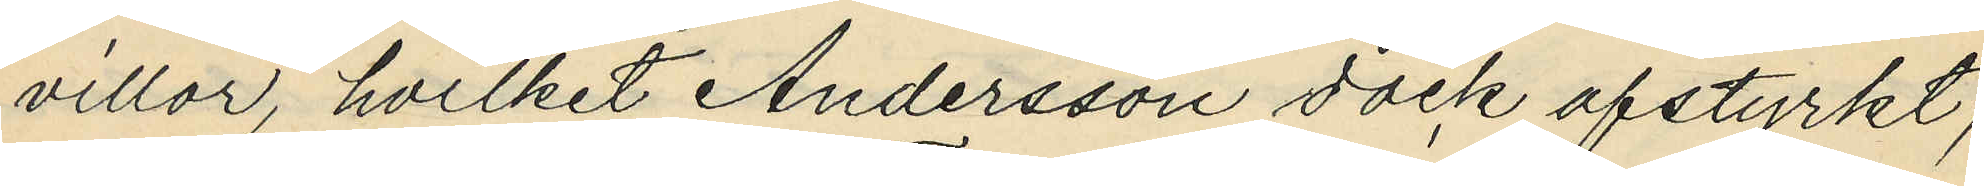villor, hvilket Andersson dock afstyrkt;
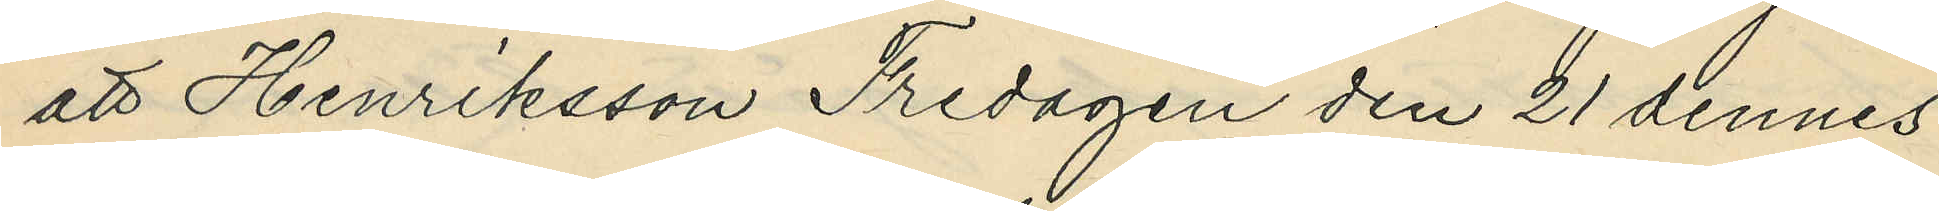att Henriksson Fredagen den 21 dennes
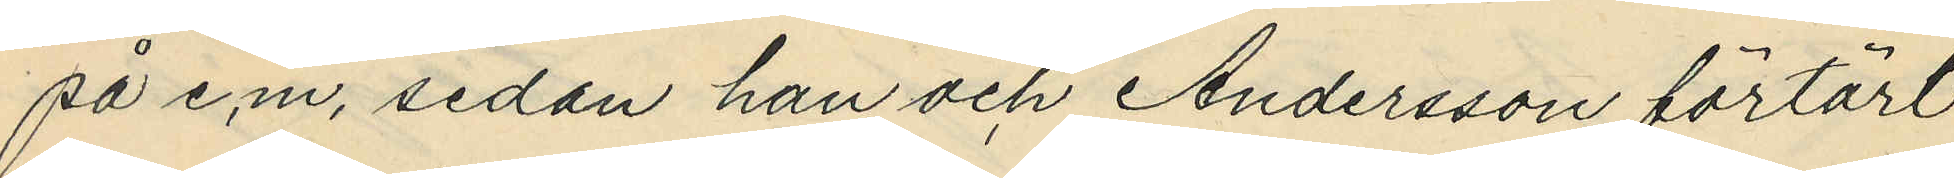på e.m, sedan han och Andersson förtärt
